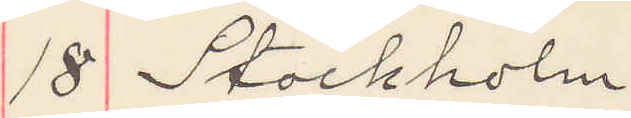18 Stockholm
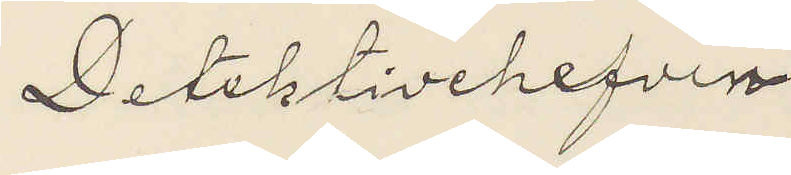Detektivchefen
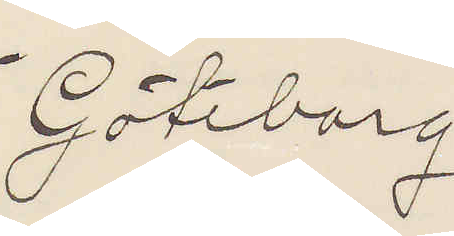Göteborg
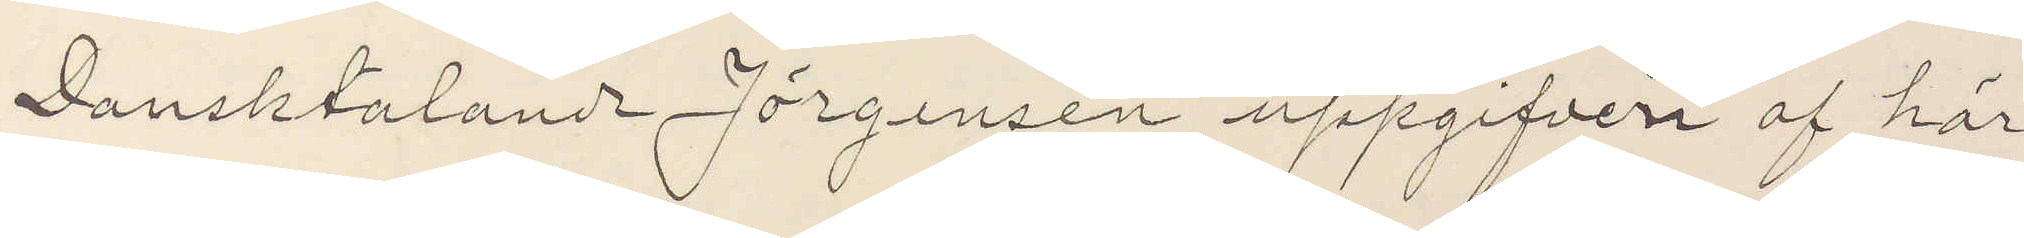Dansktalande Jörgensen uppgifven af här
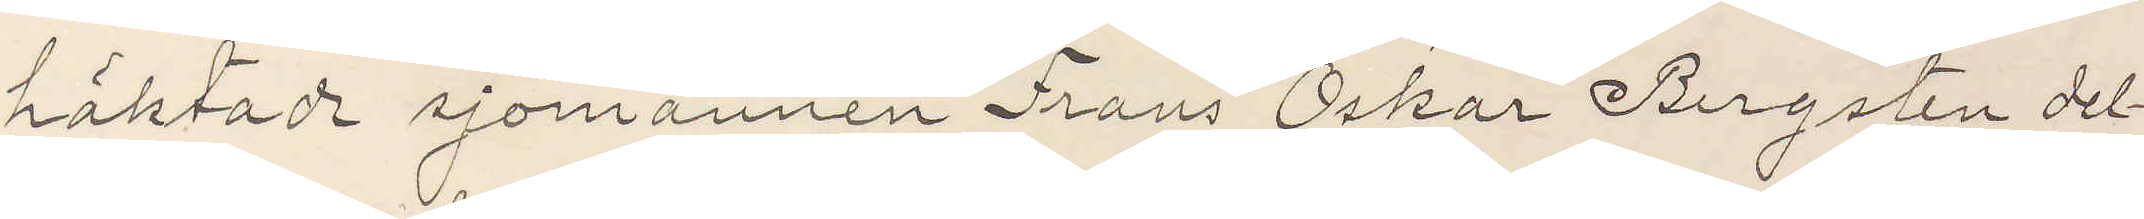häktade sjömannen Frans Oskar Bergsten del¬
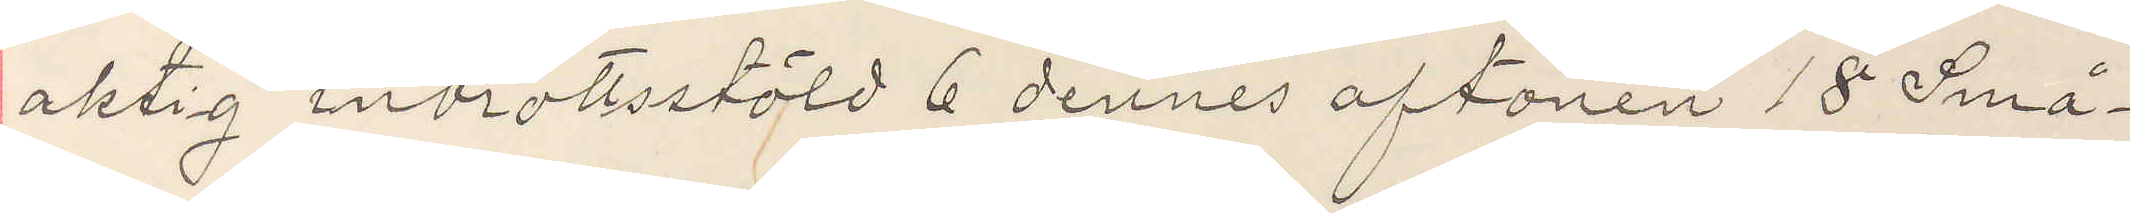aktig inbrottstöld 6 dennes aftonen 18 Små¬
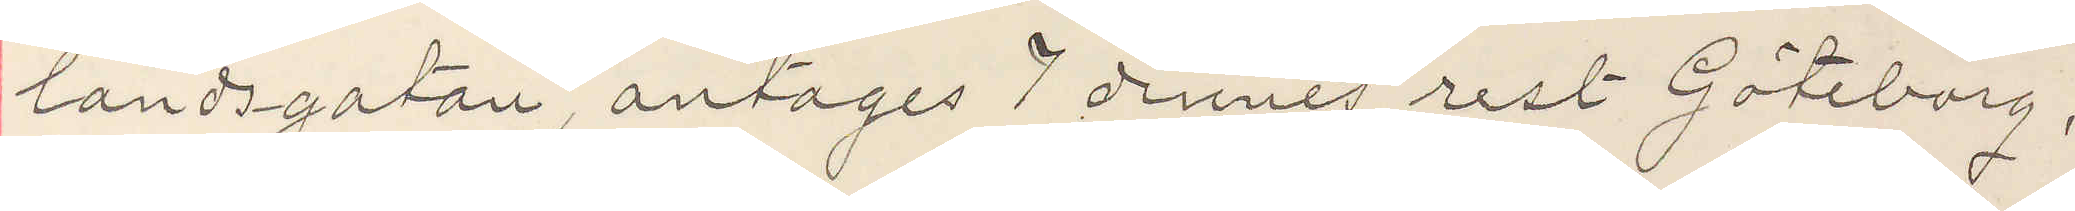landsgatan, antages 7 dennes rest Göteborg,
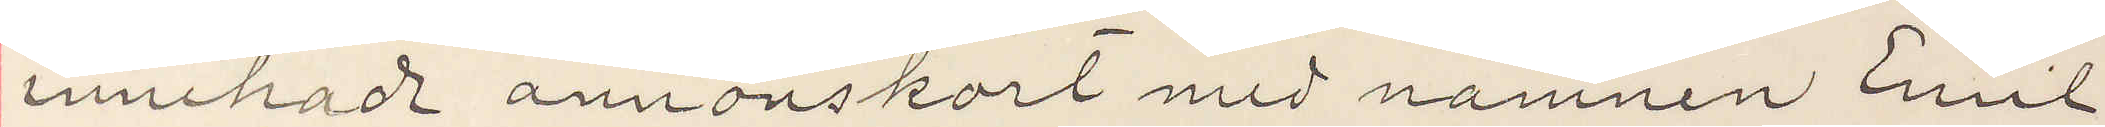innehade annonskort med namnen Emil
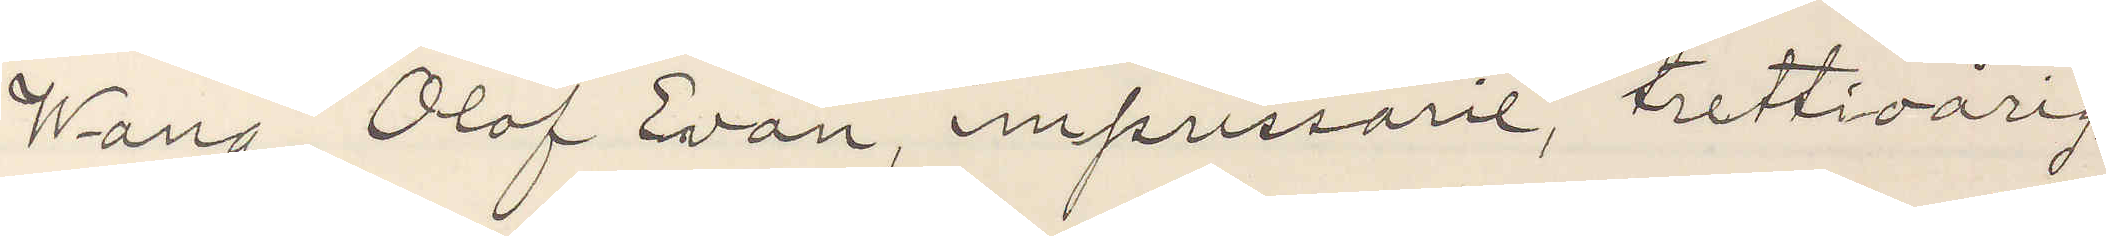Wang, Olof Evan, impressarie, trettioårig,
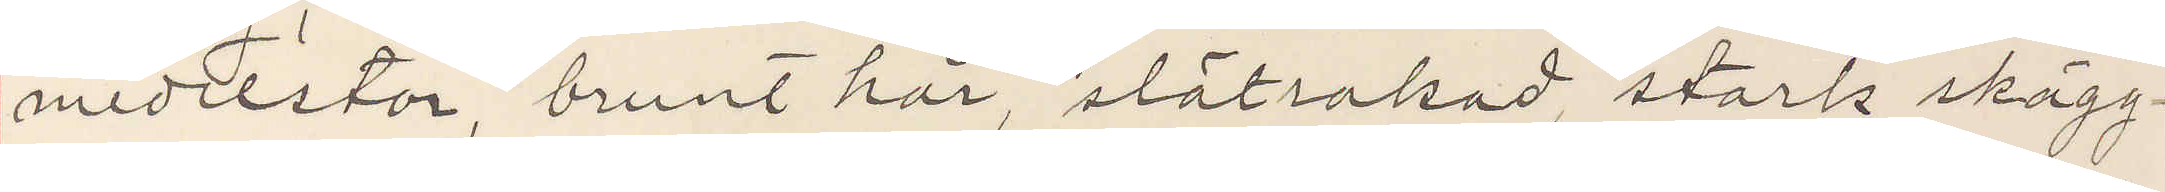medelstor, brunt hår, slätrakad, stark skägg¬
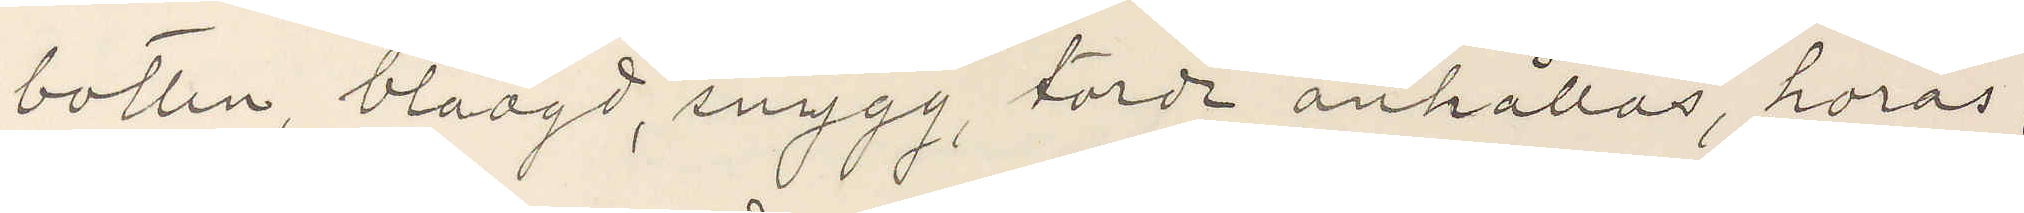botten, blåögd, snygg, torde anhållas, horas,
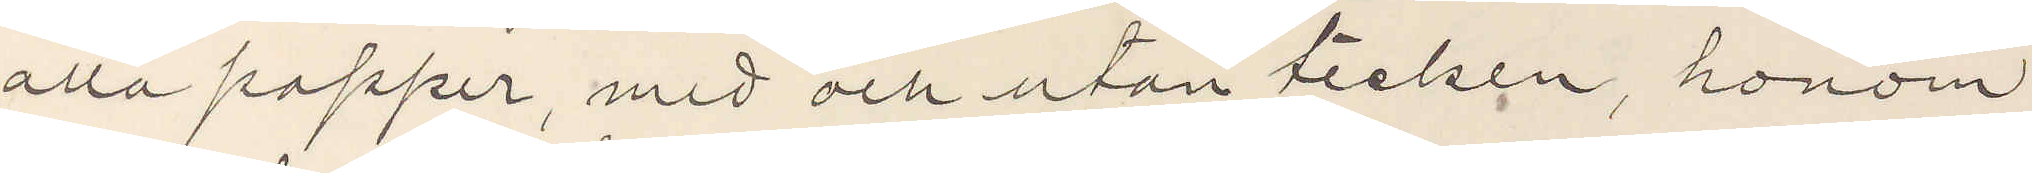alla papper, med och utan tecken, honom
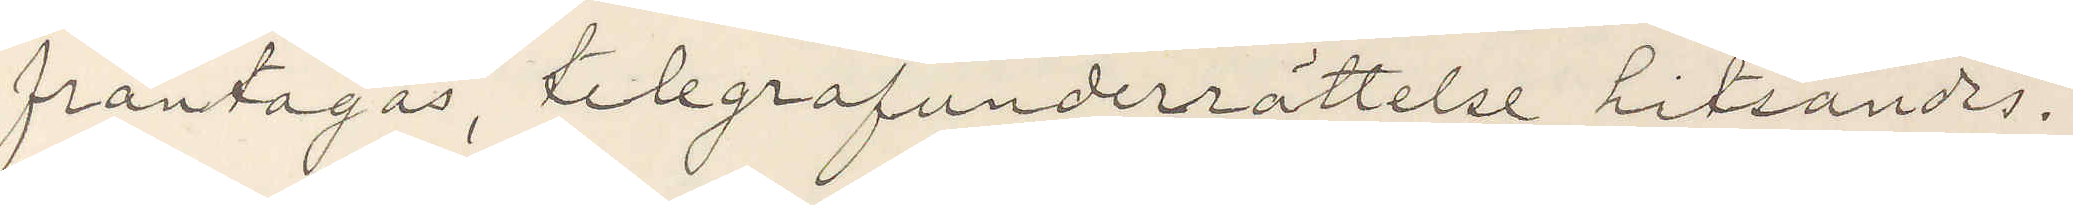fråntagas, telegrafunderrättelse hitsändas.
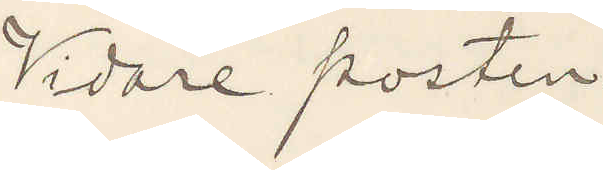Vidare posten.
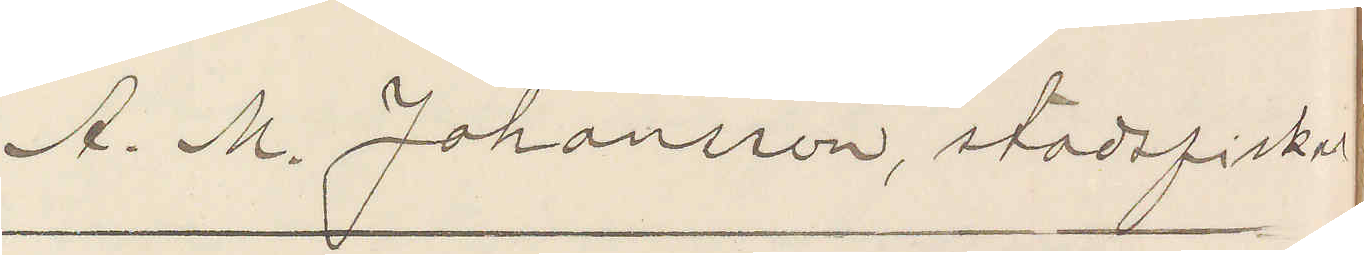A. M. Johansson, stadsfiskal
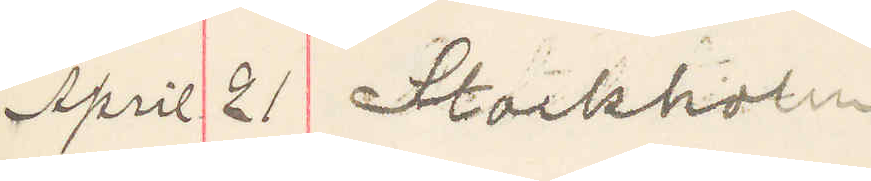April 21 Stockholm
